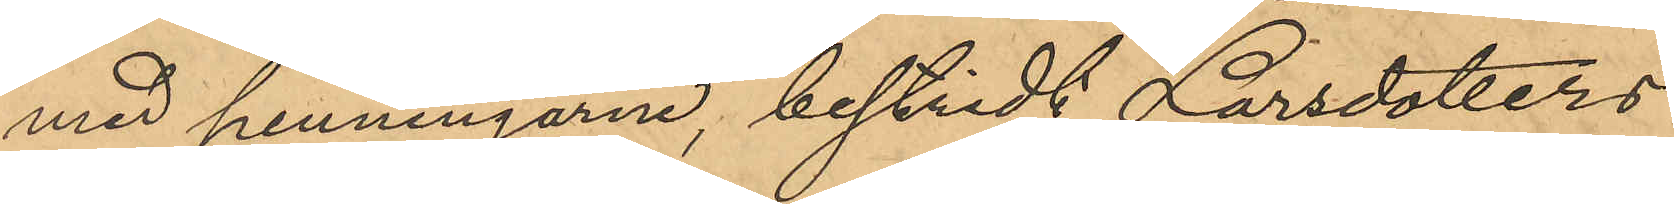med penningarne, bestridt Larsdotters
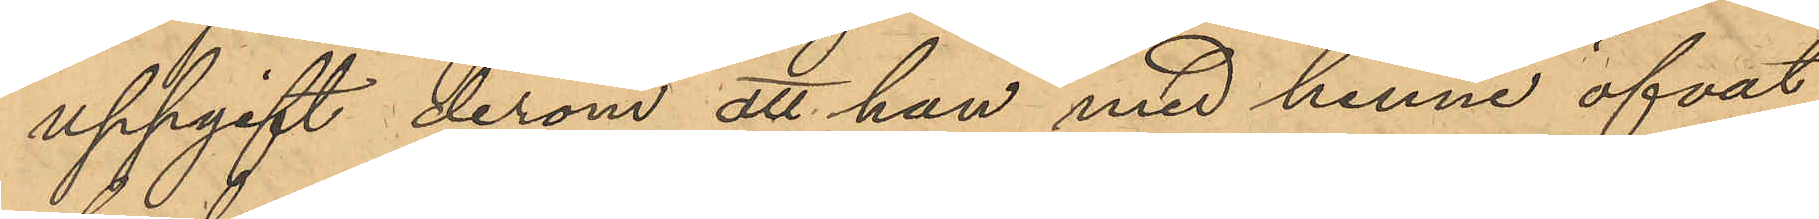uppgift derom att han med henne öfvat
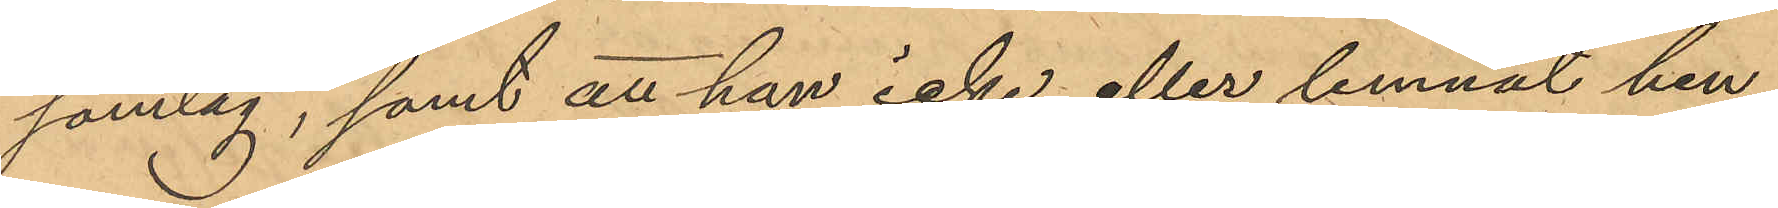samlag, samt att han icke eller lemnat hen¬
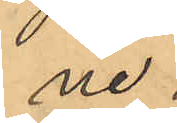ne
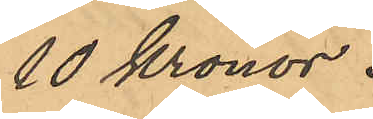10 Kronor.
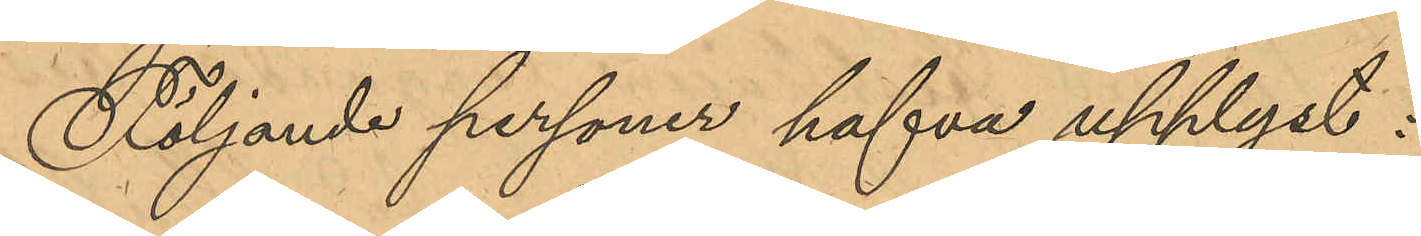Följande personer hafva upplyst:
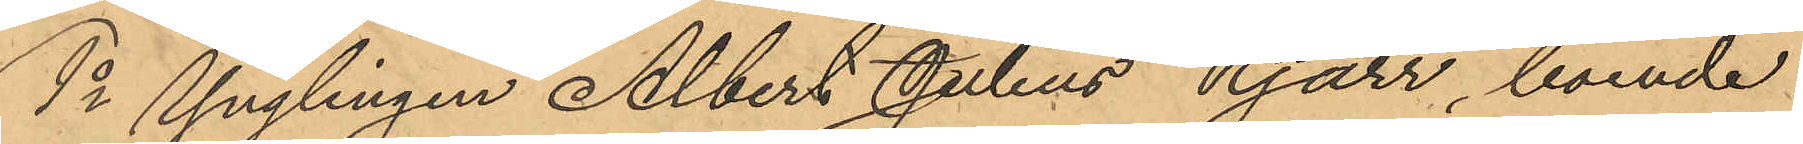1o Ynglingen Albert Julius Kjärr, boende
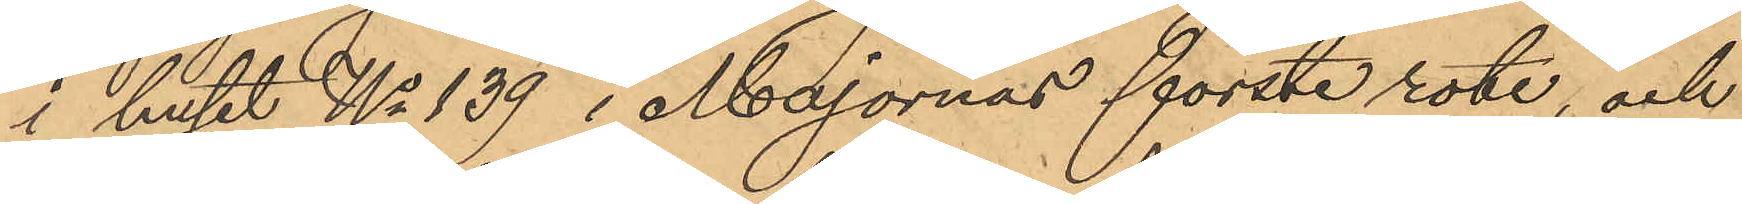i huset No 139 i Majornas förste rote, och
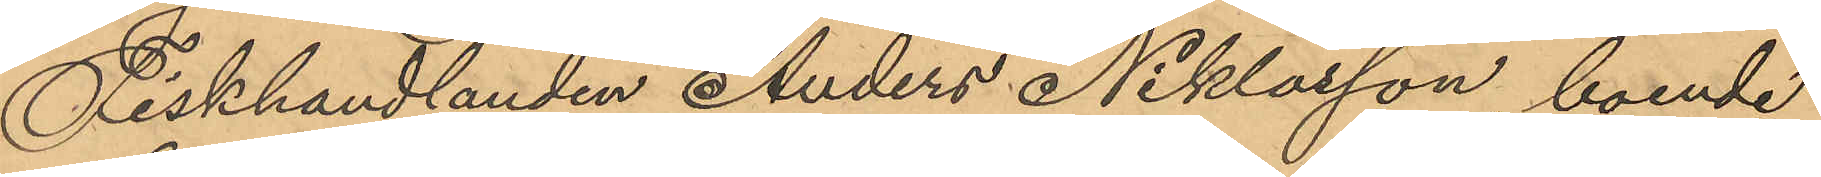Fiskhandlanden Anders Niklasson, boende
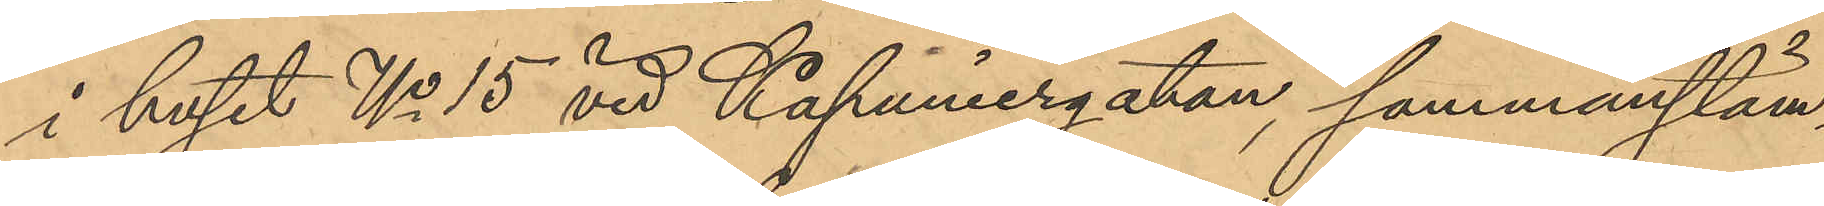i huset No 15 vid Kapuniergatan, sammanstäm¬
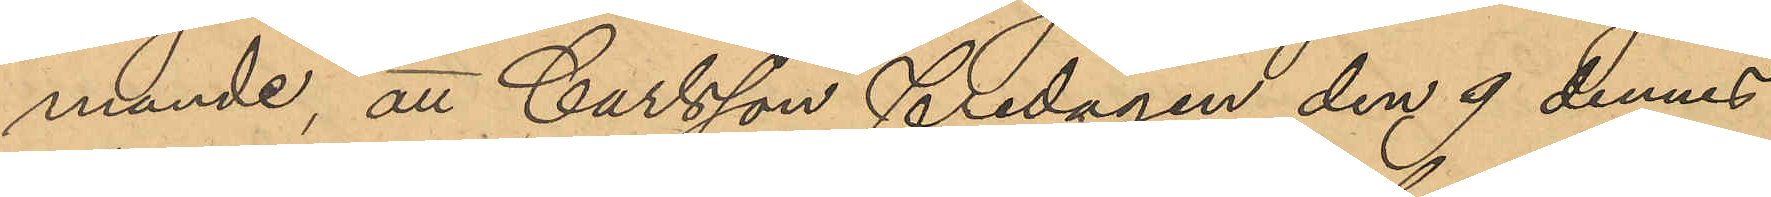mande, att Carlsson fredagen den 9 dennes
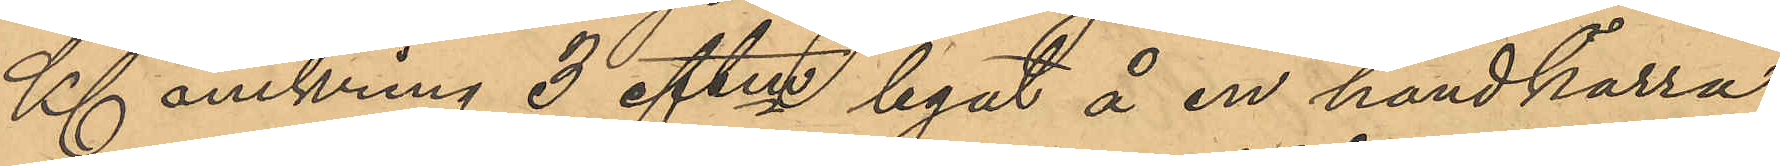Kl omkring 3 eftm legat å en handkärra,
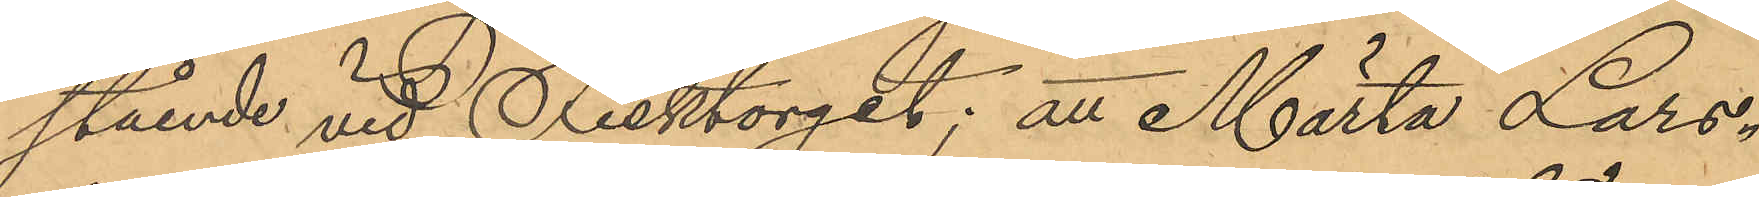stående vid Fisktorget; att Märta Lars¬
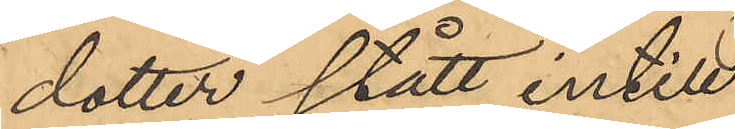dotter stått intill
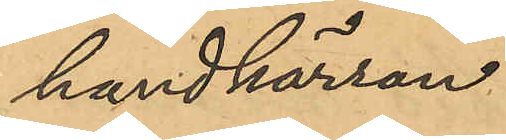handkärran
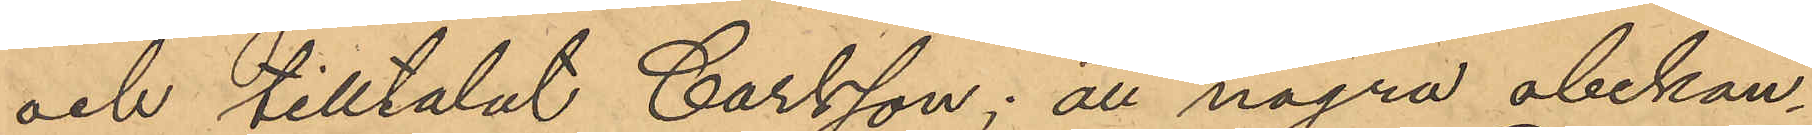och tilltalat Carlsson; att några obekan¬
